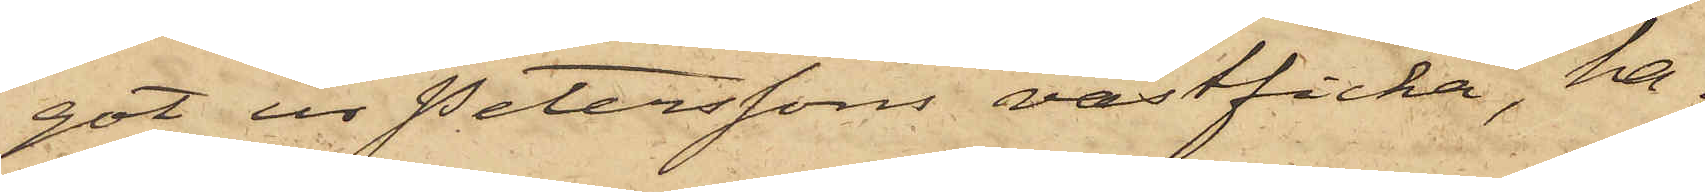got ur Peterssons västficka, ha¬
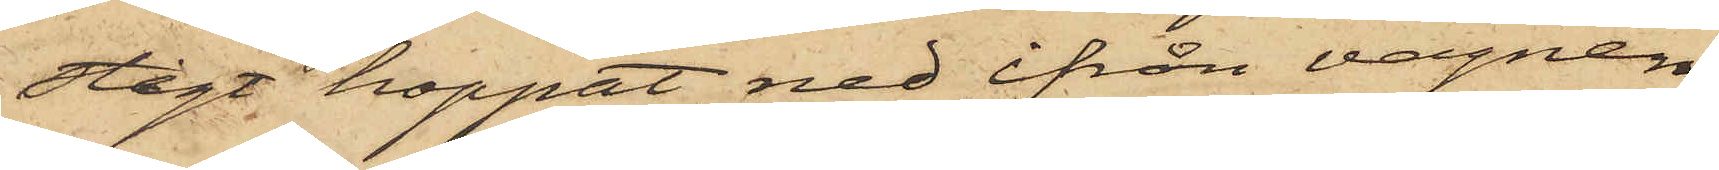stigt hoppat ned ifrån vagnen
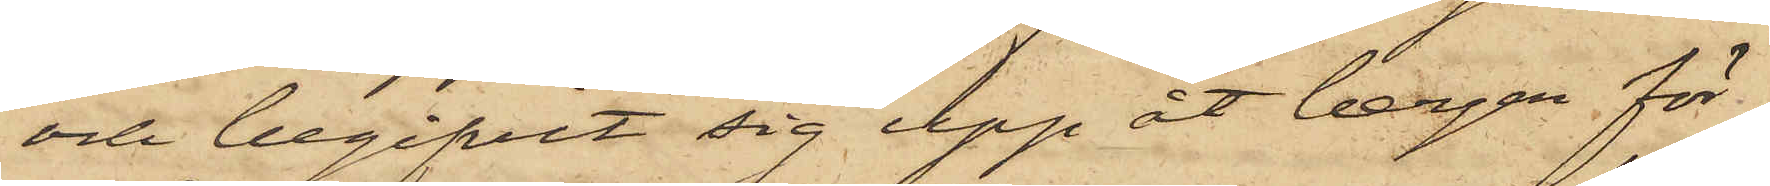och begifvit sig upp åt bergen för¬
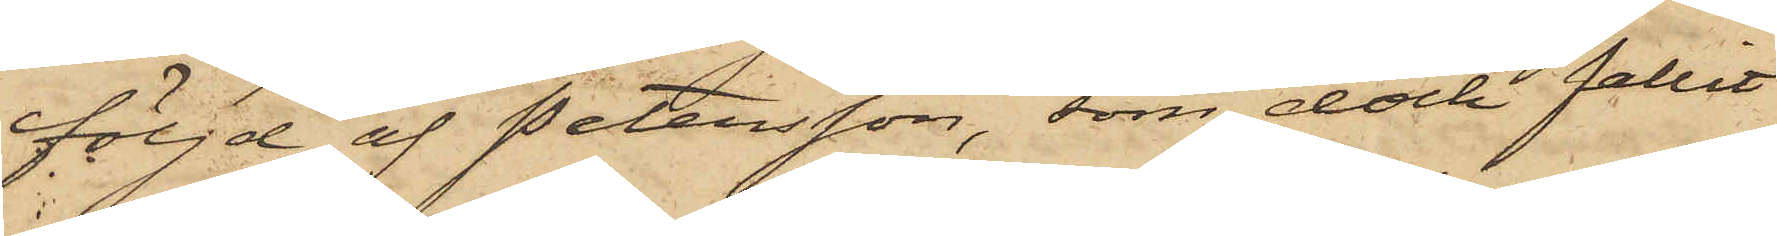följd af Petersson, som dock fallit
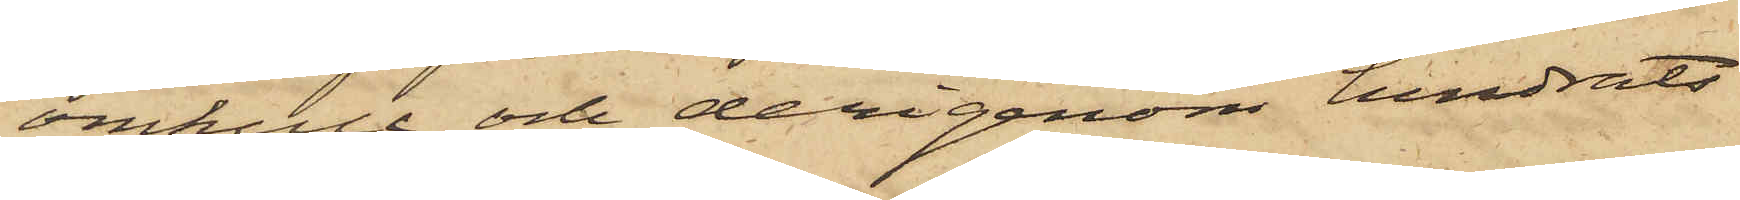omkull och derigenom hindrats
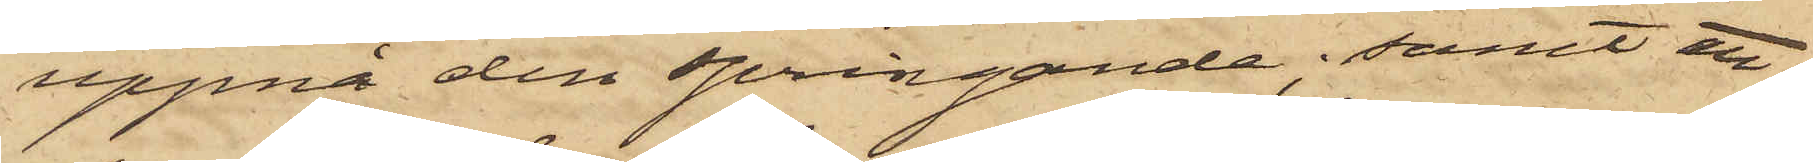uppnå den springande; samt att
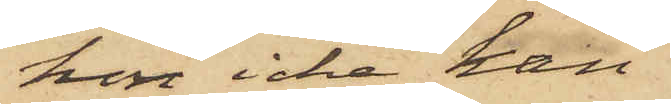hon icke kan
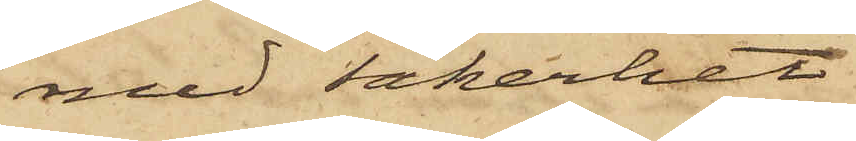med säkerhet
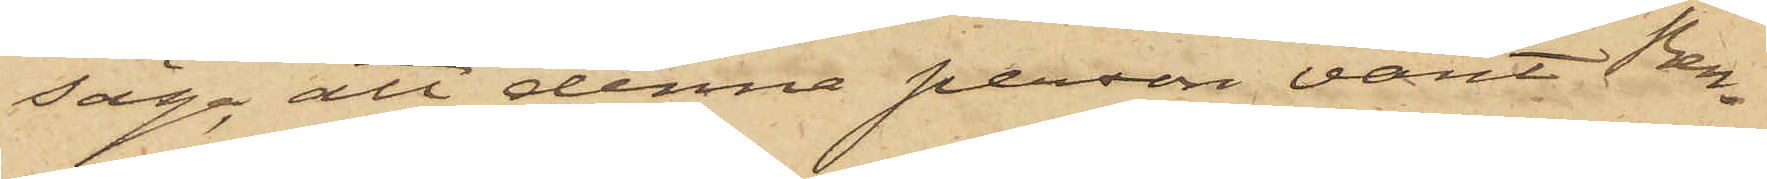säga, att denna person varit Ben¬
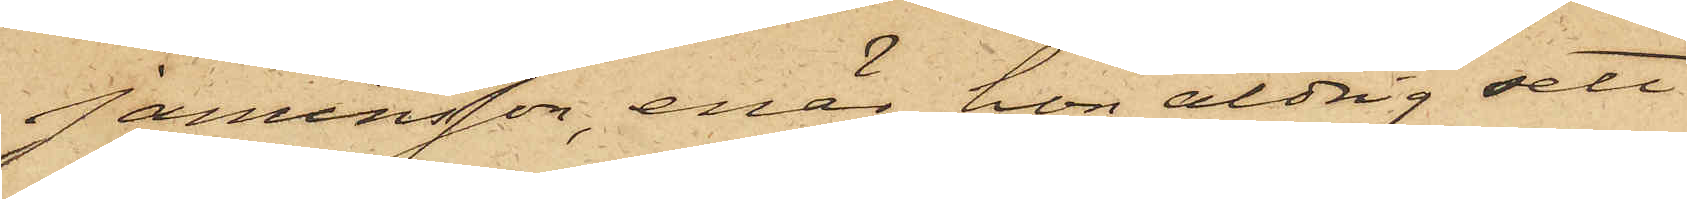jaminsson, enär hon aldrig sett
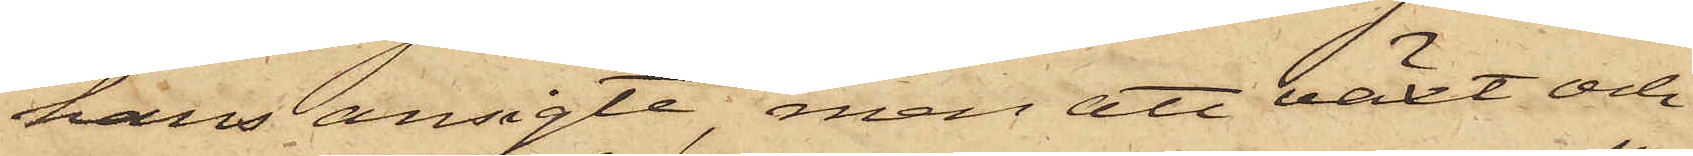hans ansigte, men att växt och
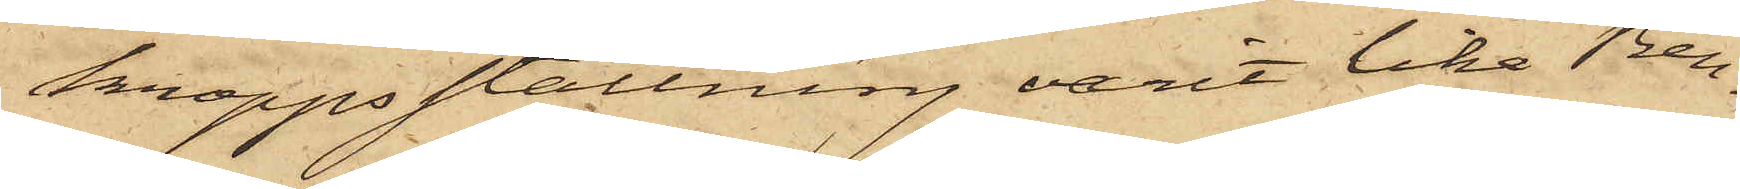kroppsställning varit lika Ben¬
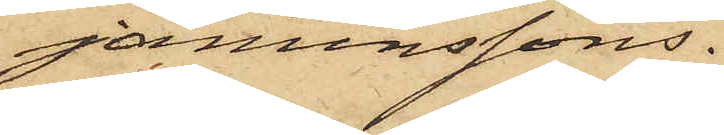jaminssons.
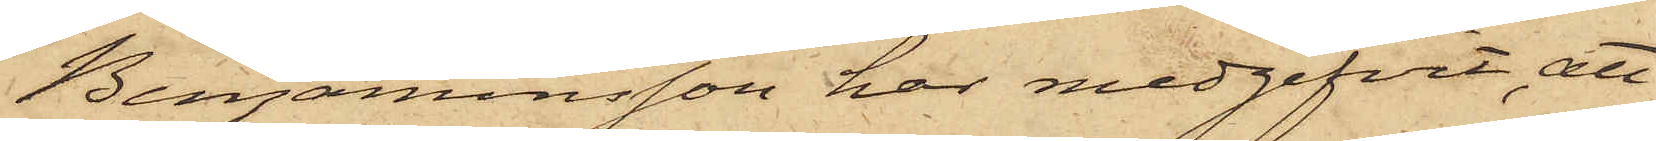Benjaminsson har medgifvit, att
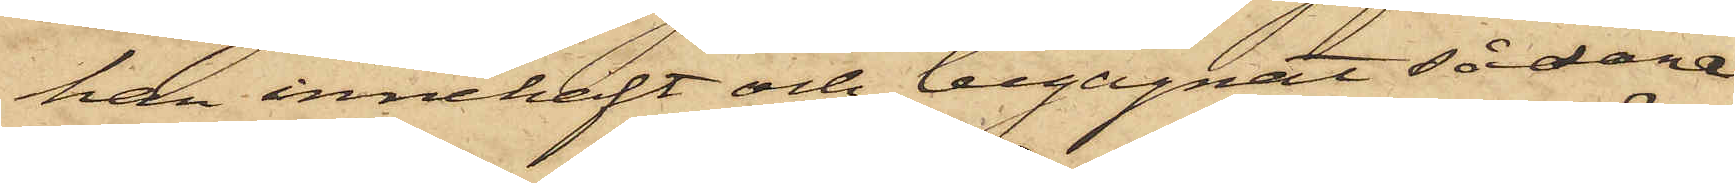han innehaft och begagnat sådane
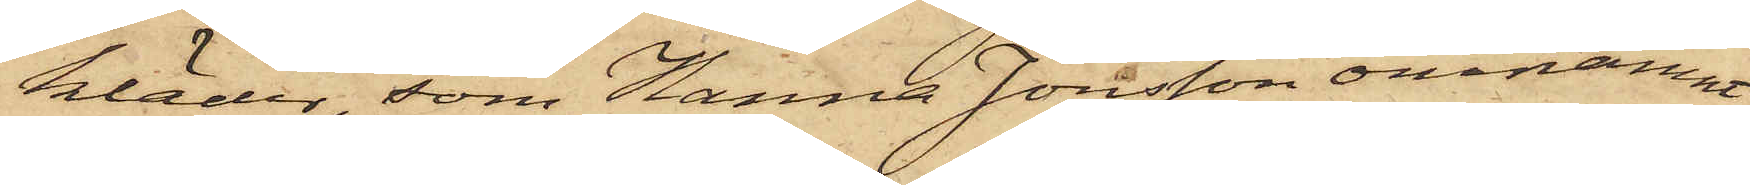kläder, som Hanna Jonsson omnämnt,
